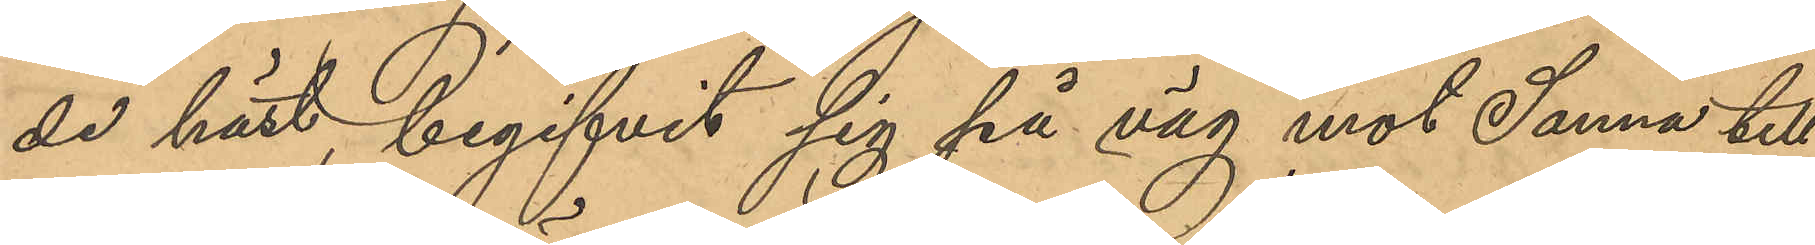de häst, begifvit sig på väg mot Sanna till;
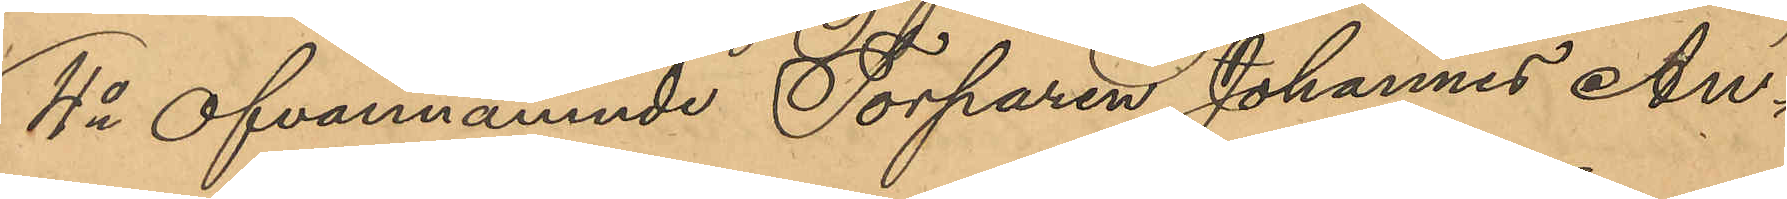4o Ofvannämnde Torparen Johannes An¬
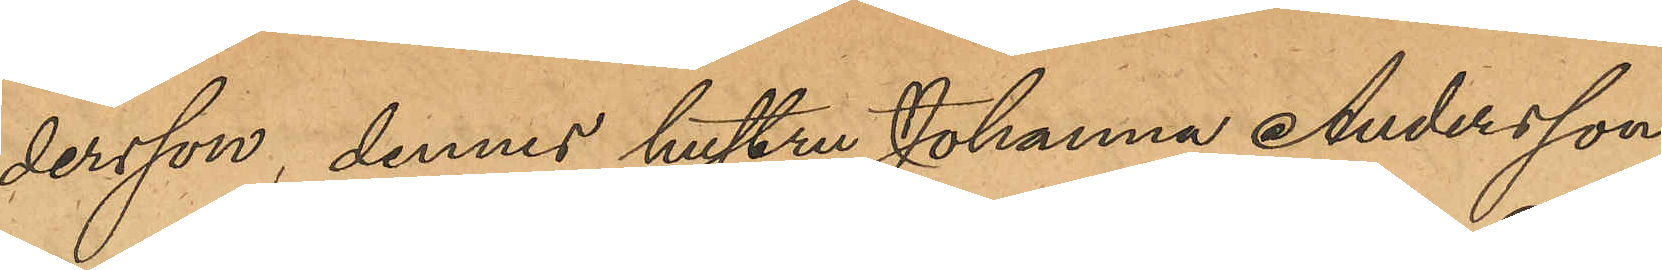dersson, dennes hustru Johanna Andersson
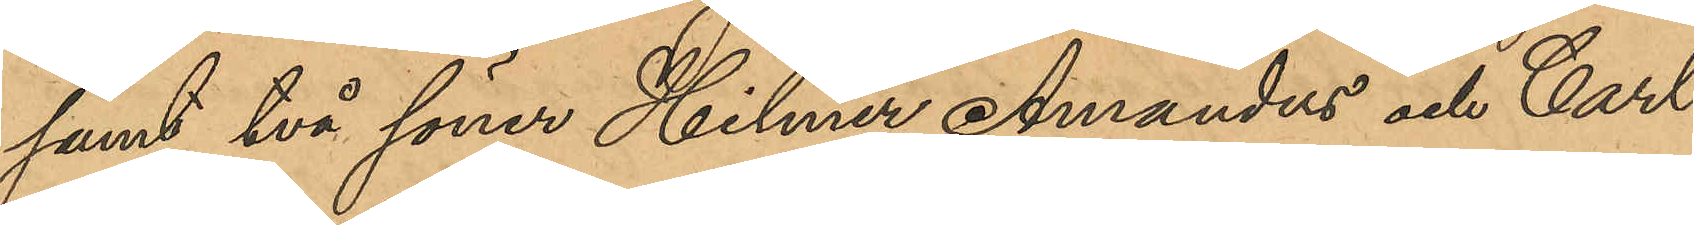samt två söner Hilmer Amandus och Carl
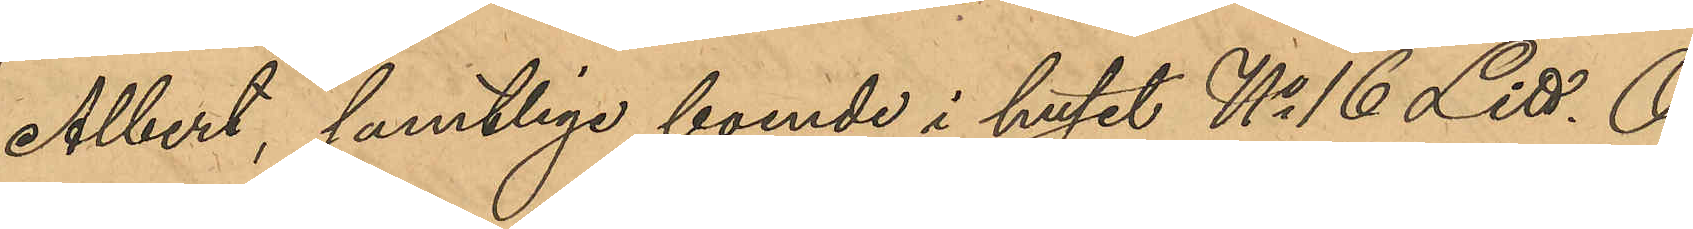Albert, samtliga boende i huset No 16 Litt. O
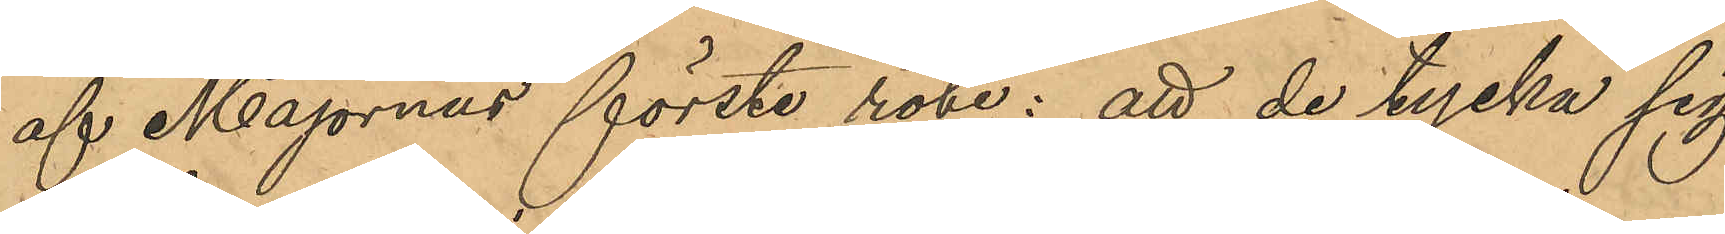af Majornas förste rote; att de tycka sig
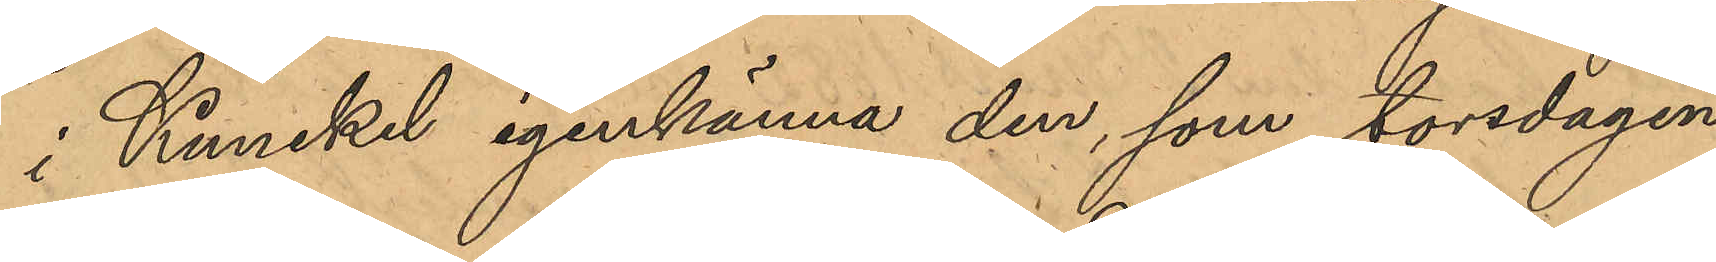i Kunckel igenkänna den, som torsdagen
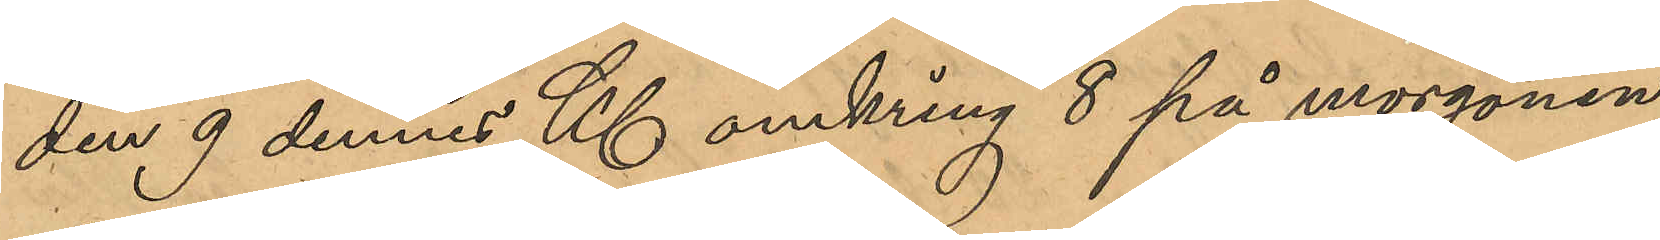den 9 dennes Kl omkring 8 på morgonen
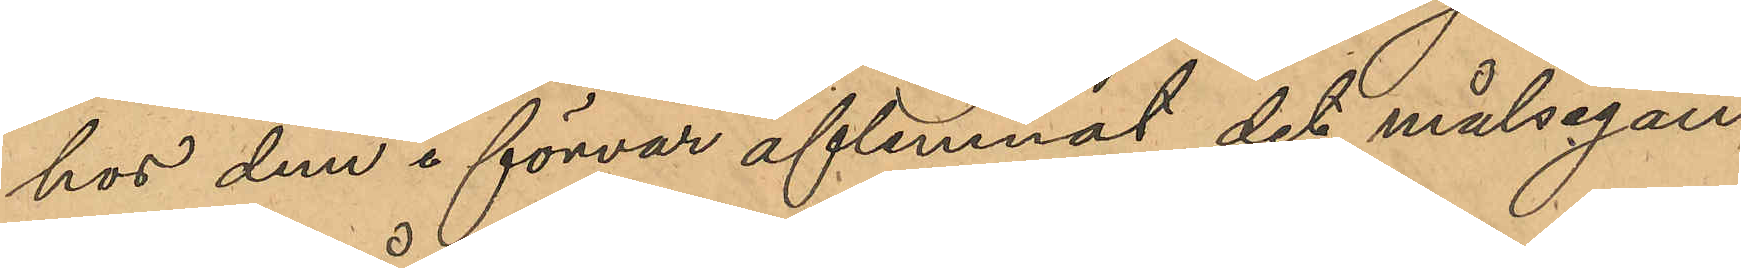hos dem i förvar aflemnat det målsegan¬
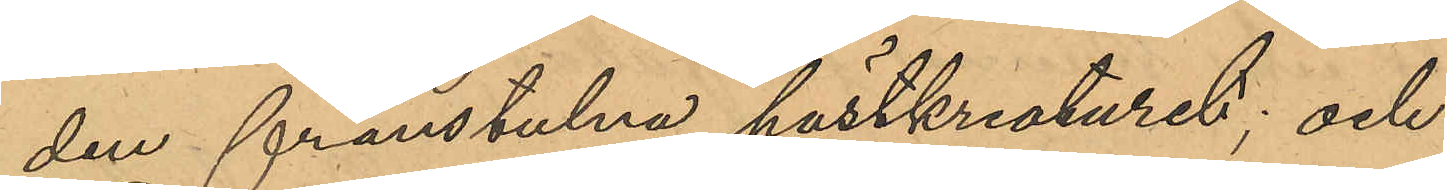den frånstulna hästkreaturet; och
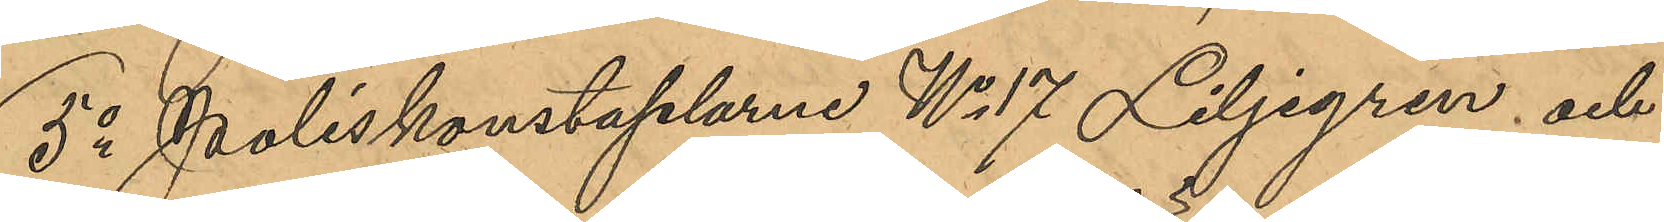5o Poliskonstaplarne No 17 Liljegren och
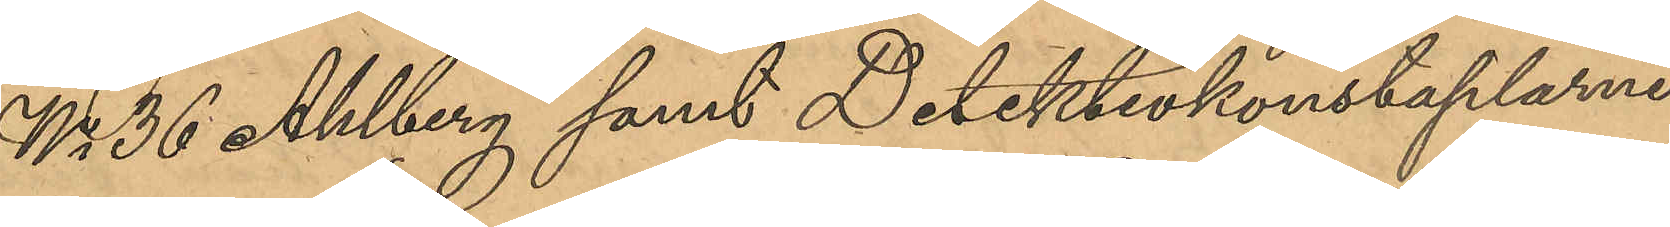No 36 Ahlberg samt Detektivkonstaplarne
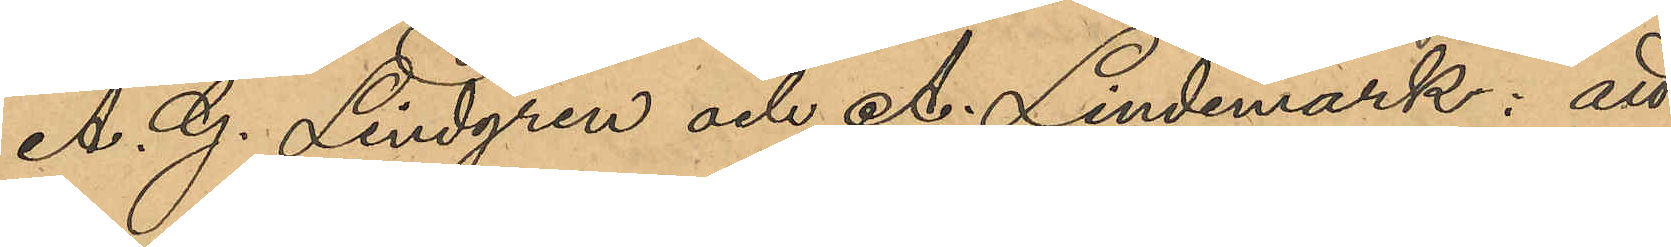A. G. Lindgren och A. Lindemark; att
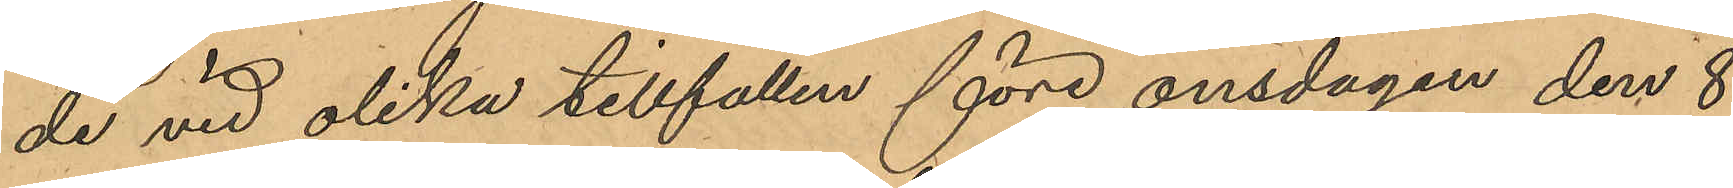de vid olika tillfällen före onsdagen den 8
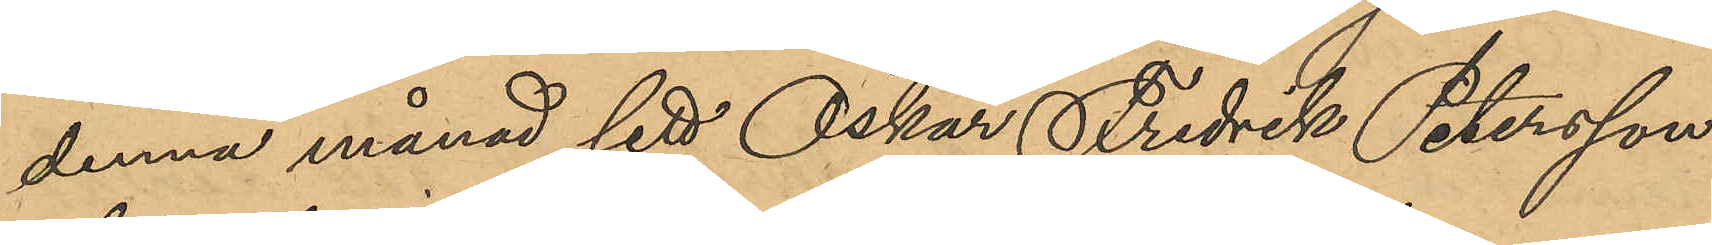denna månad sett Oskar Fredrik Petersson
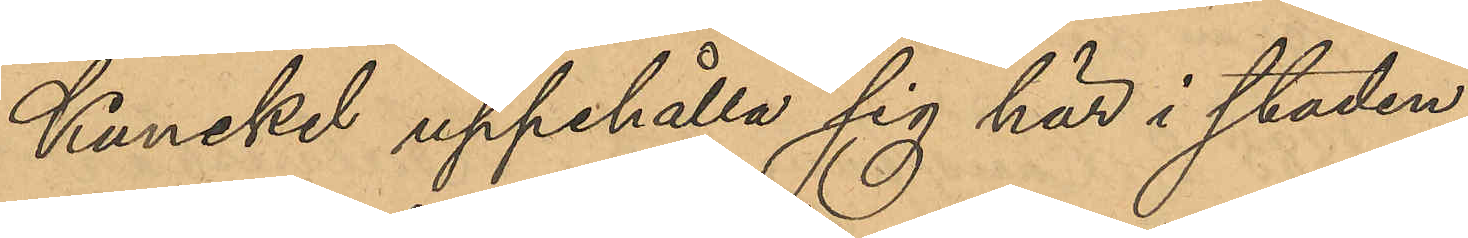Kunckel uppehålla sig här i staden.
